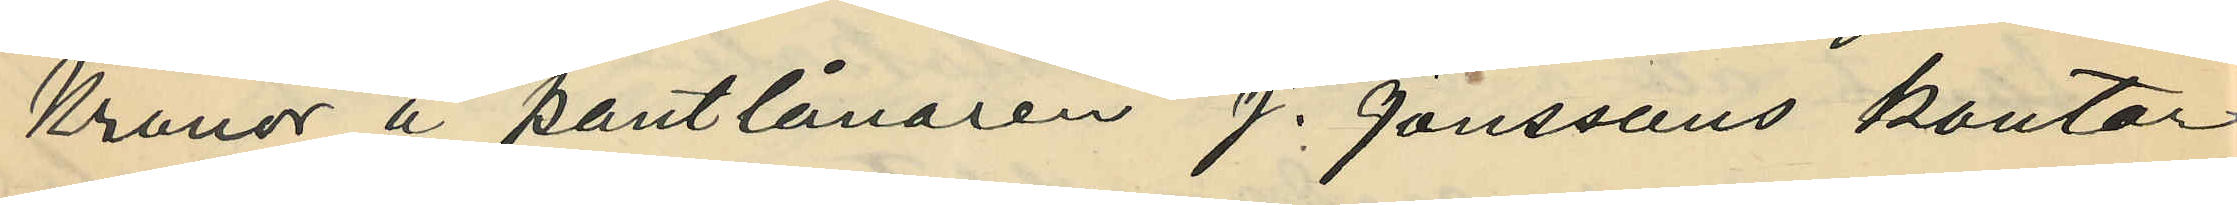Kronor å pantlånaren J. Jönssons kontor
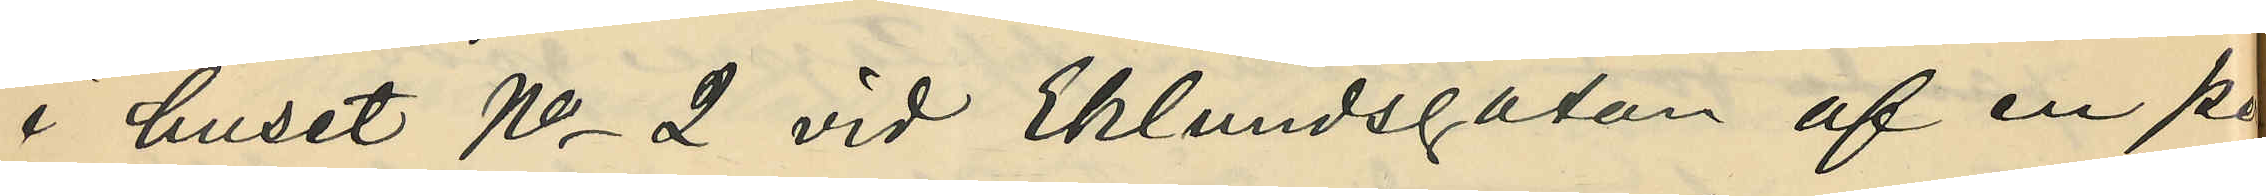i huset No 2 vid Eklundsgatan af en pe¬
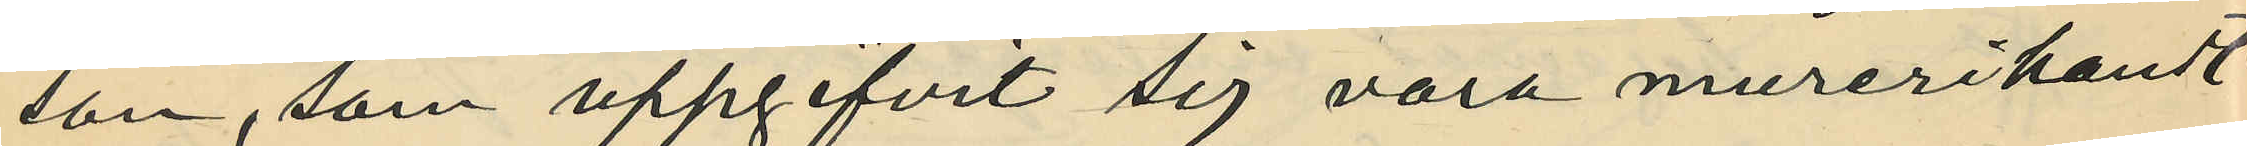son, som uppgifvit sig vara murerihandt¬
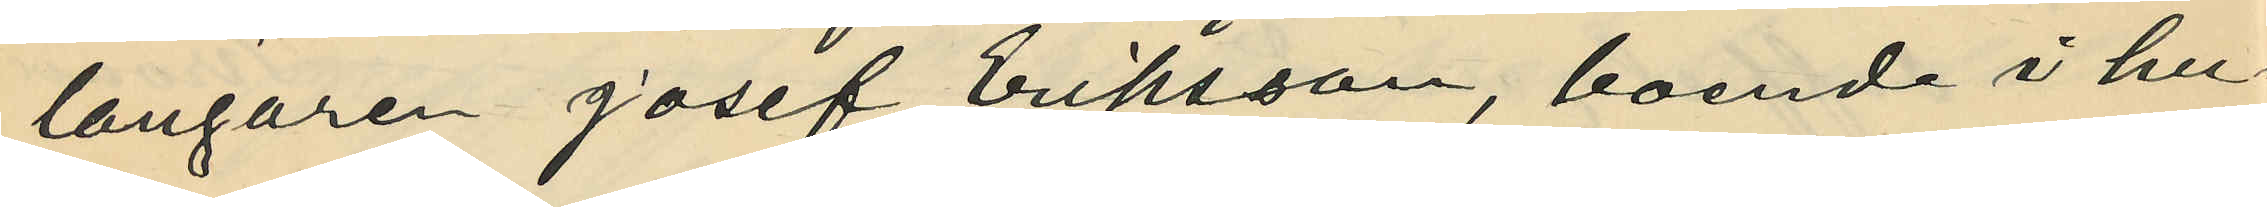langaren Josef Eriksson, boende i hu¬
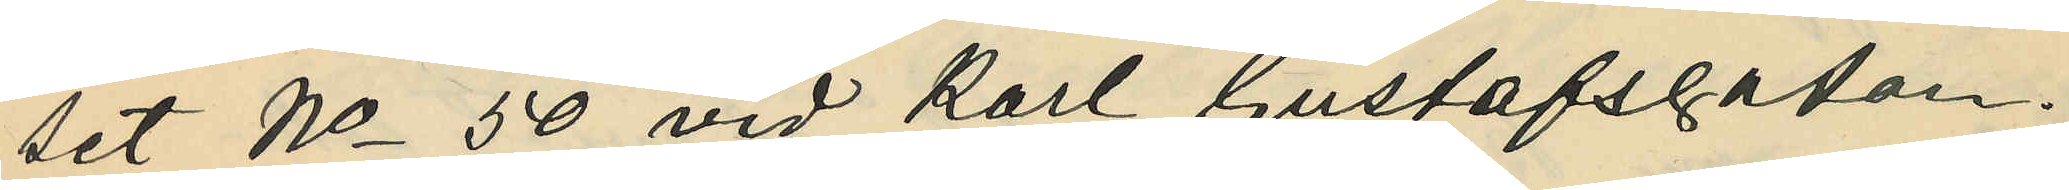set No 50 vid Karl Gustafsgatan.
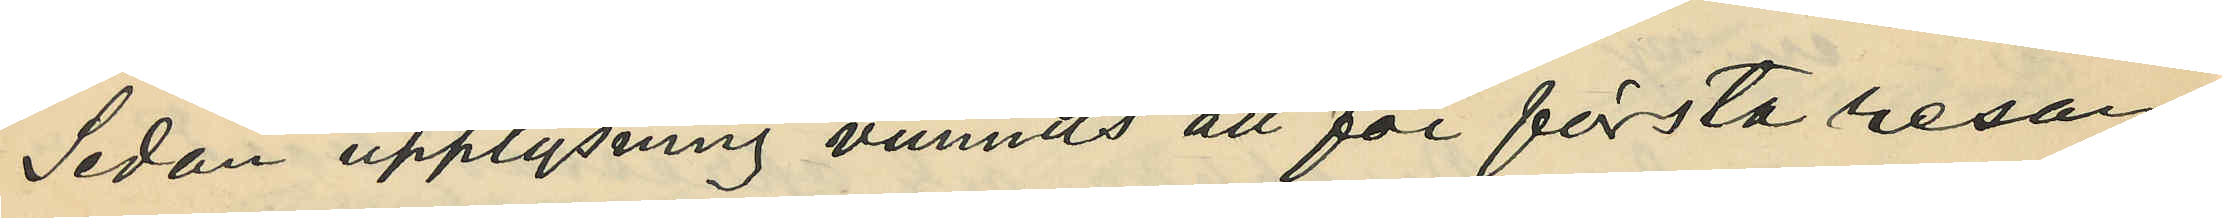Sedan upplysning vunnits att för första resan
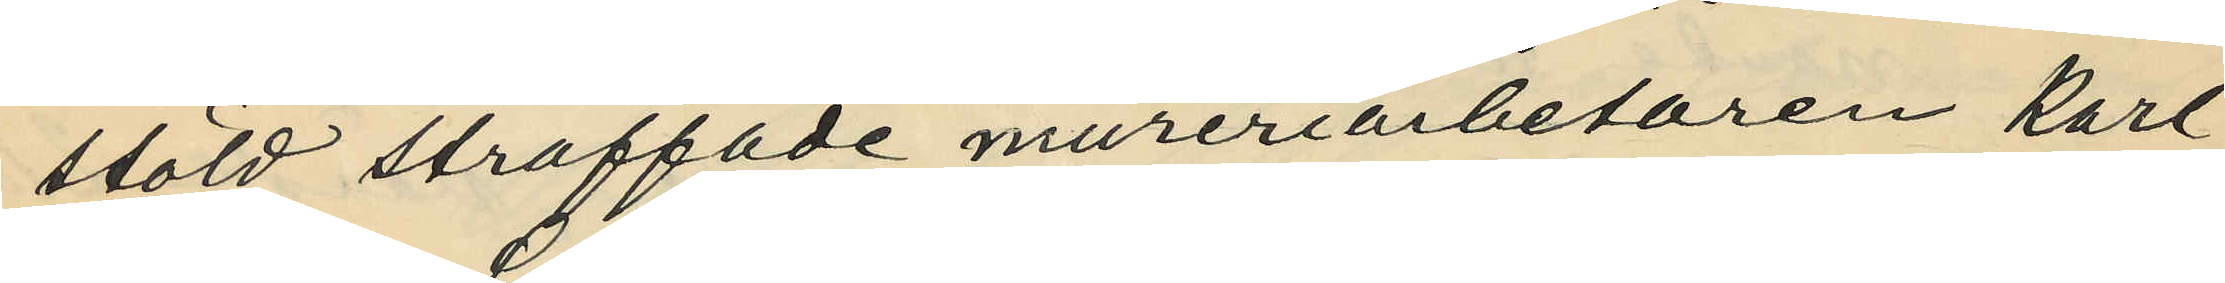stöld straffade mureriarbetaren Karl
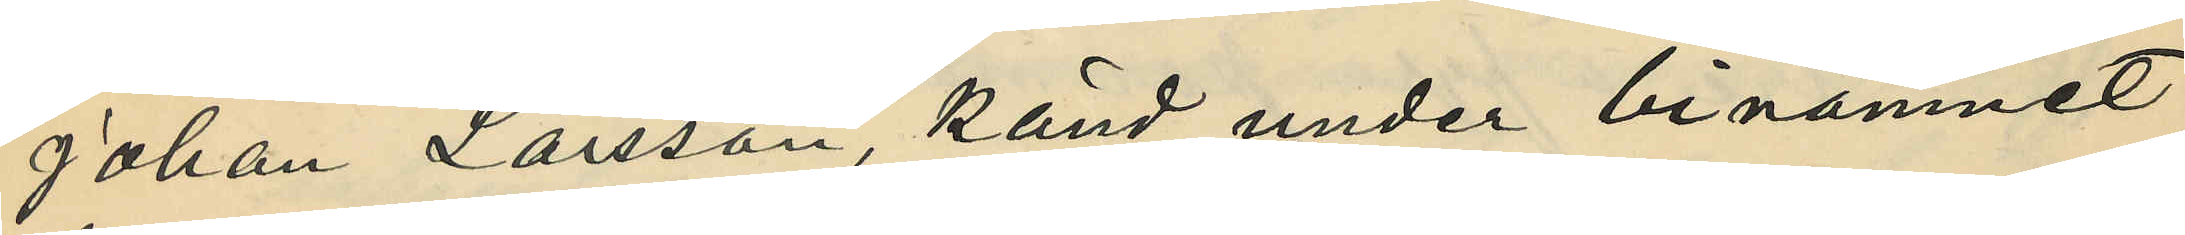Johan Larsson, känd under binamnet
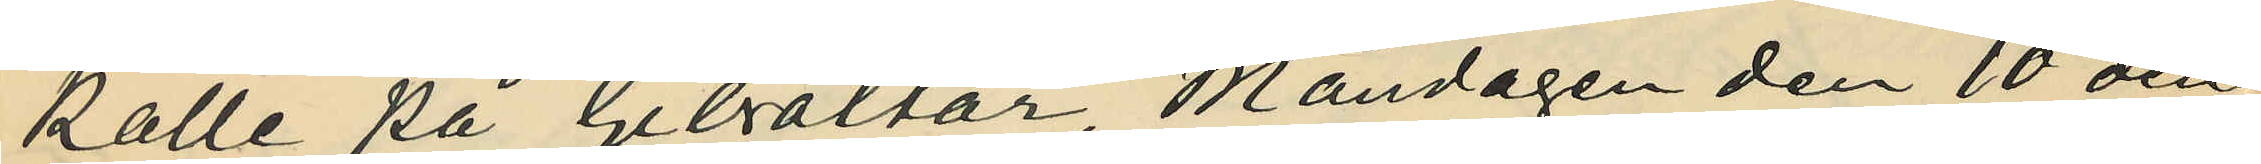Kalle på Gibraltar, Måndagen den 10 den¬
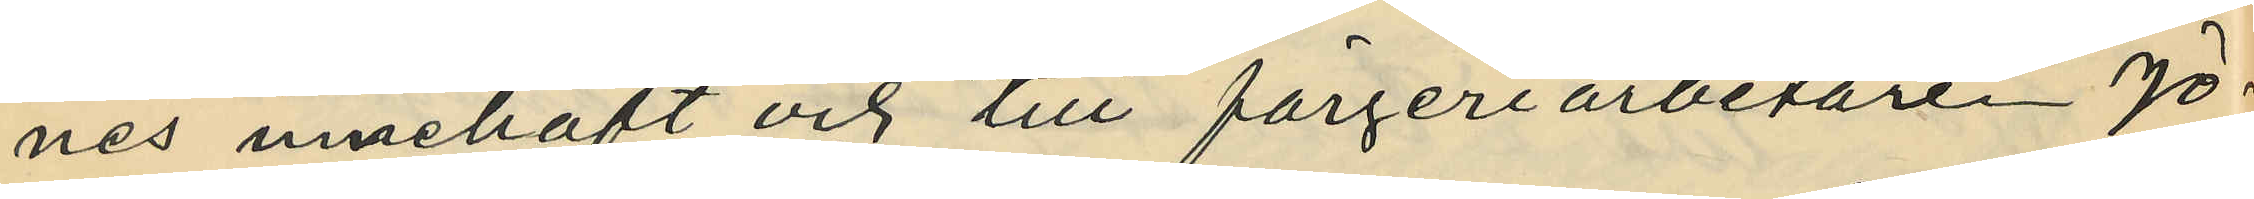nes innehaft och till färgeriarbetaren Jo¬
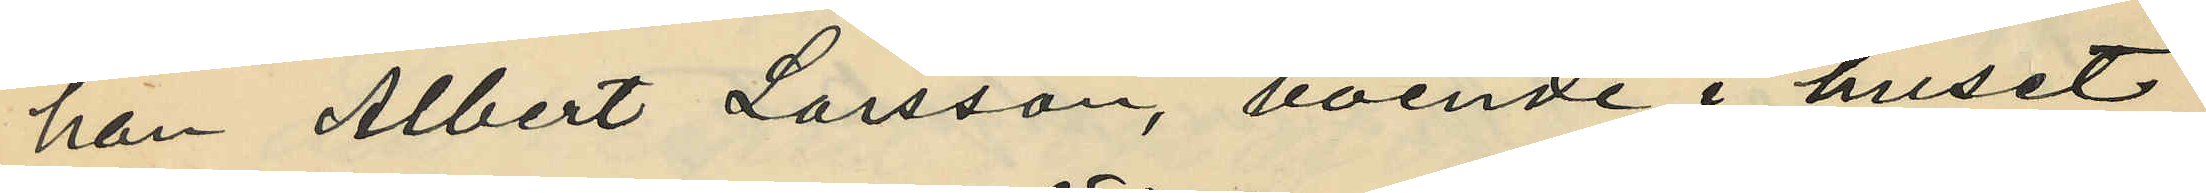han Albert Larsson, boende i huset
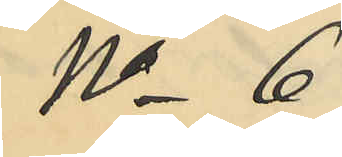No 6
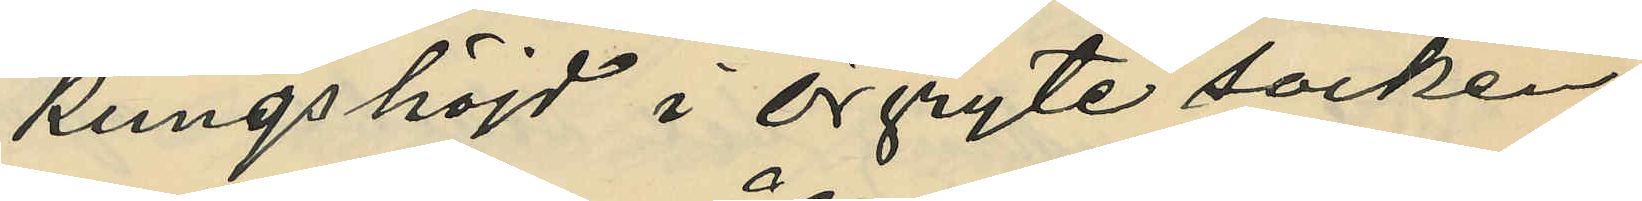Kungshöjd i Örgryte socken,
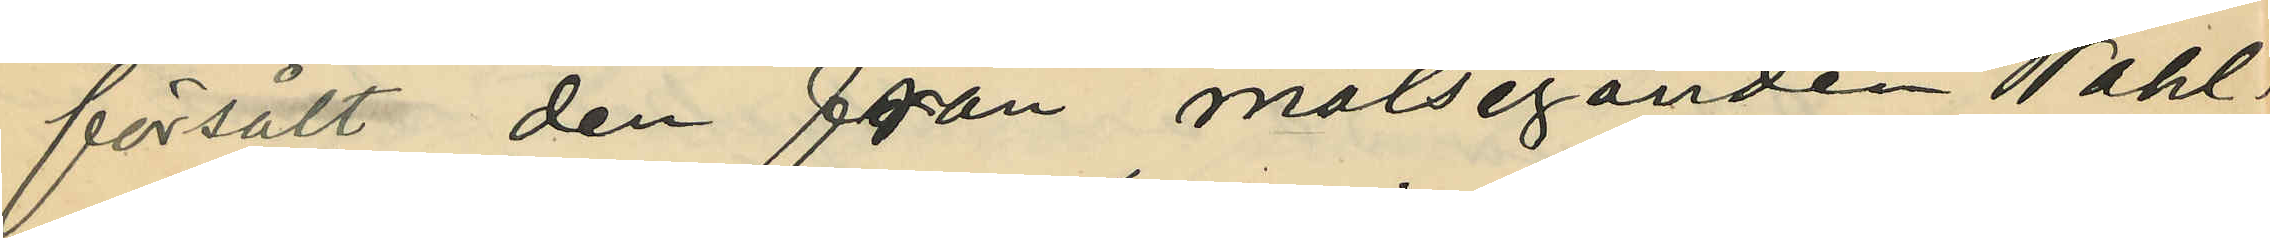försålt den från målseganden Wahl¬
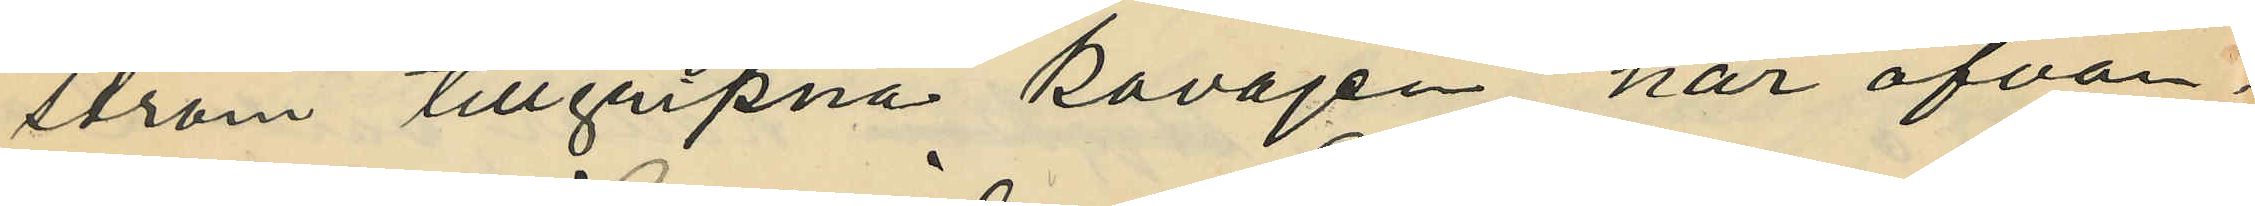ström tillgripna kavajen, har ofvan¬
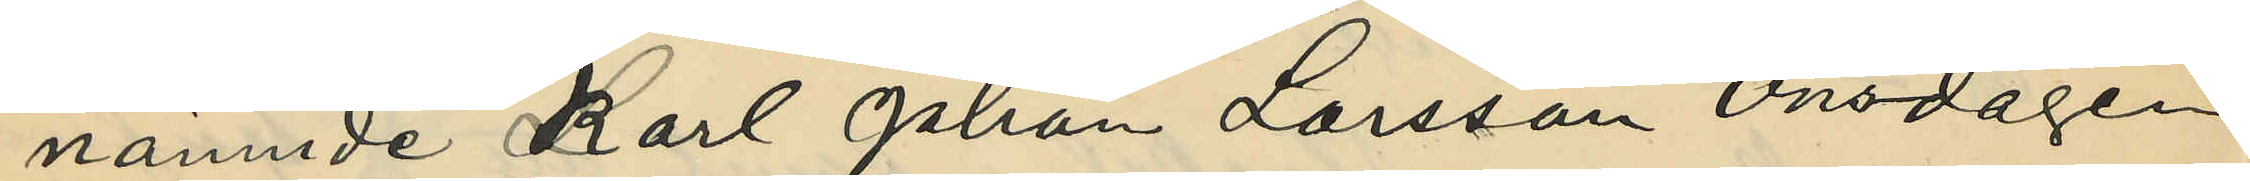nämnde Karl Johan Larsson Onsdagen
